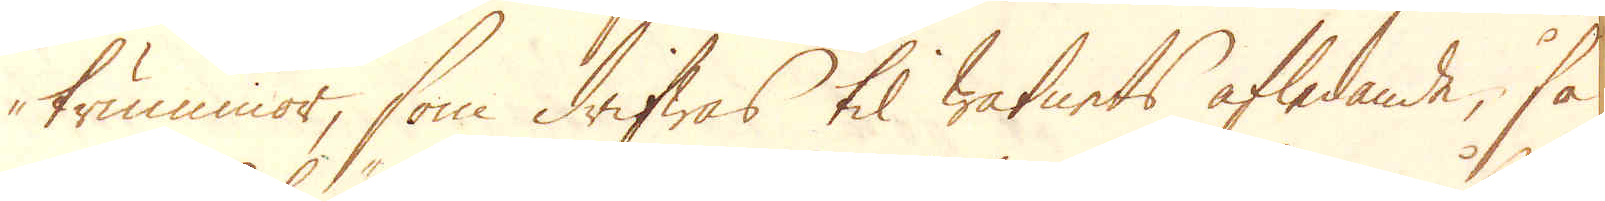trummor, som drifwas til watnets afledande, så
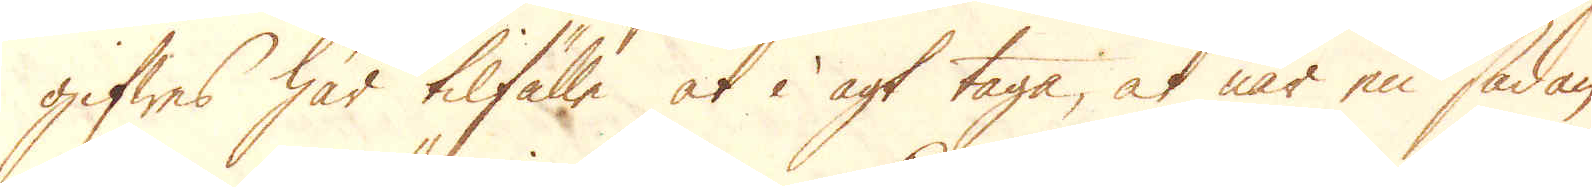gifwas här tilfälle at i agt taga, at när en sådan
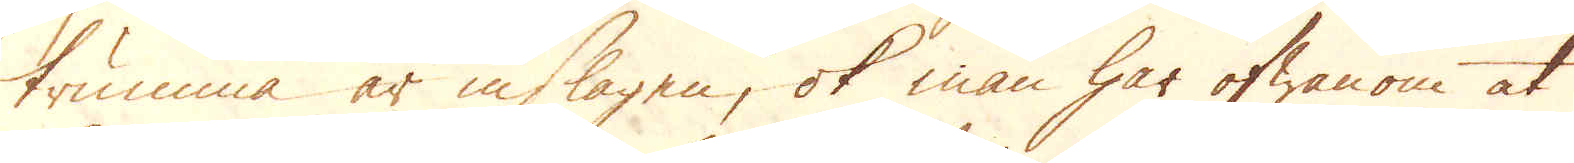trumma är inslagen, ok man har ofwanom at
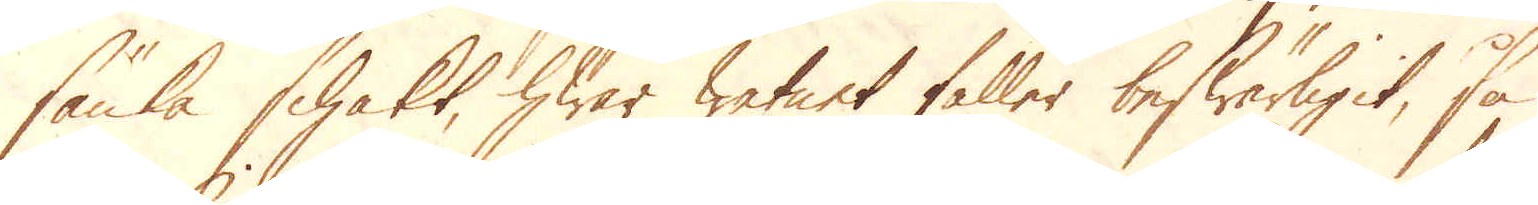sänka schakt, hwar watnet faller beswärligit, så
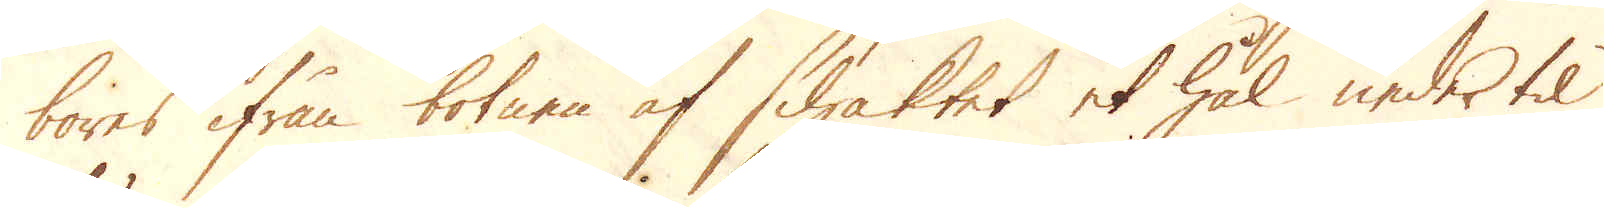bores ifrån botnen af schaktet et hål neder til
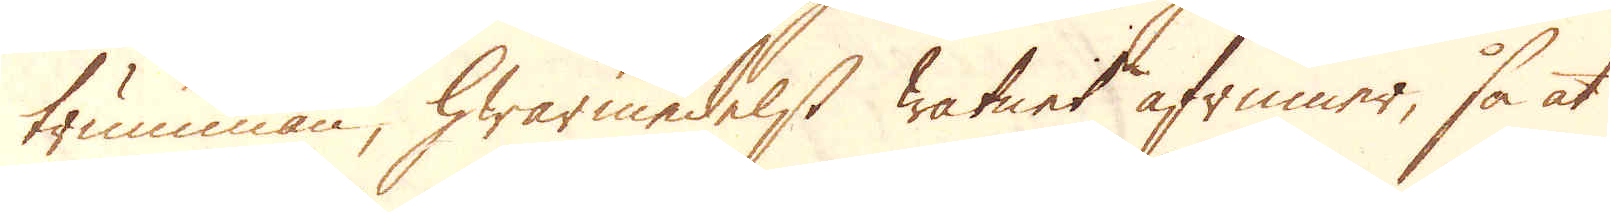trumman, hwarmedelst watnet afrinner, så at
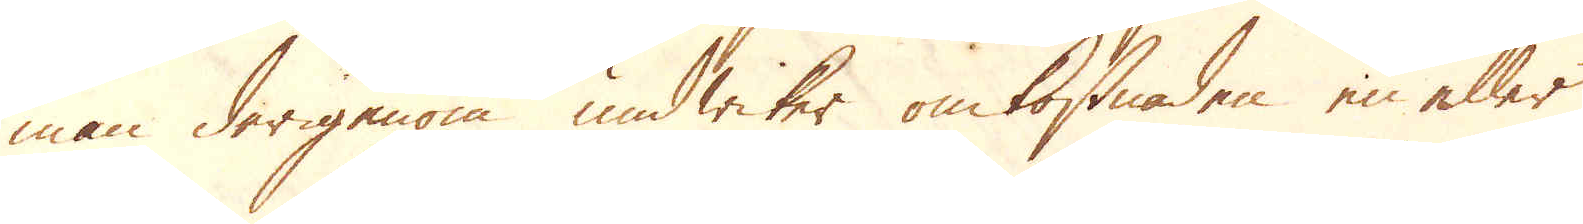man derigenom undwiker omkostnades en eller
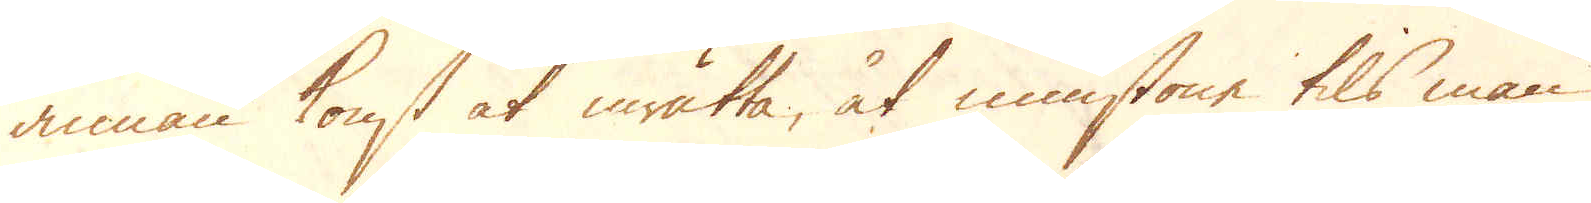annan konst at inrätta, åt minstone tils man
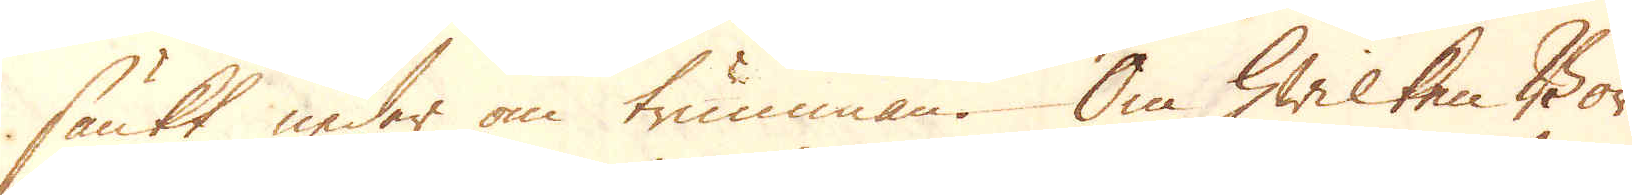sänkt neder om trumman. Om hwilken Bor
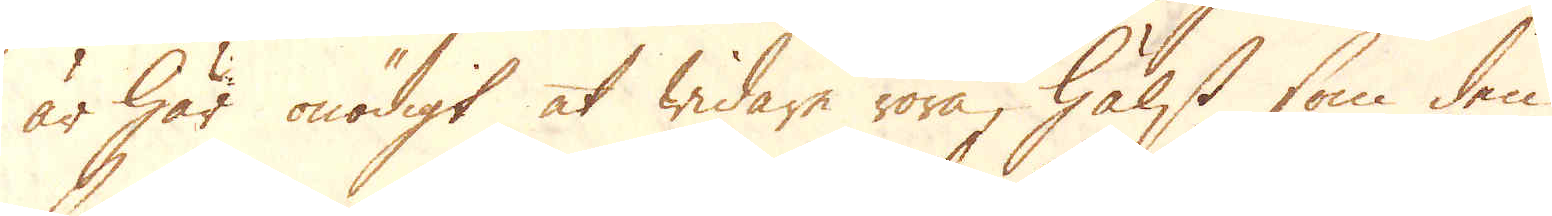är här onödigt at widare röra, hälst som den
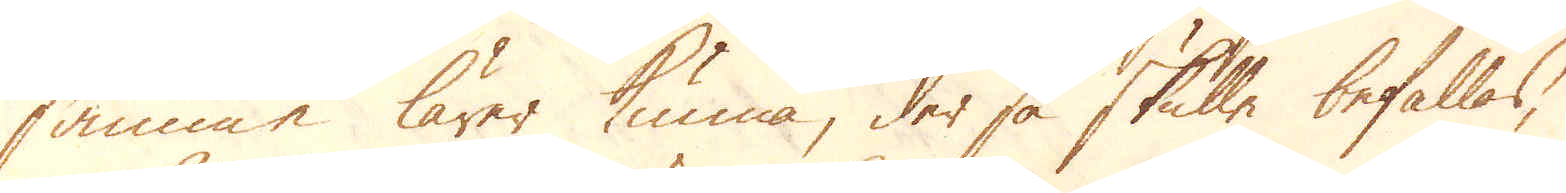samma lärer kunna, der så skulle befallas,
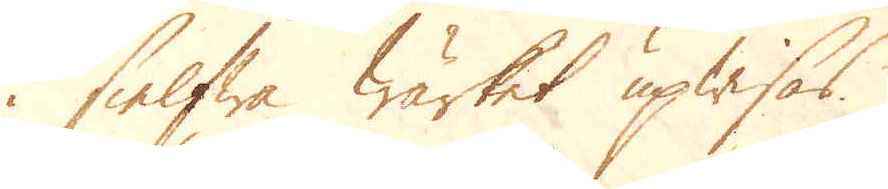i sielfwa wärket upwisas.
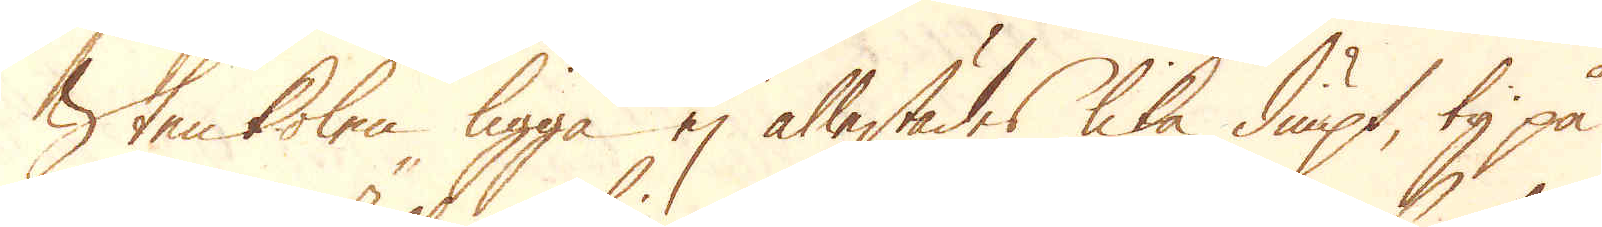Stenkolen ligga ej allestädes lika diupt, ty på
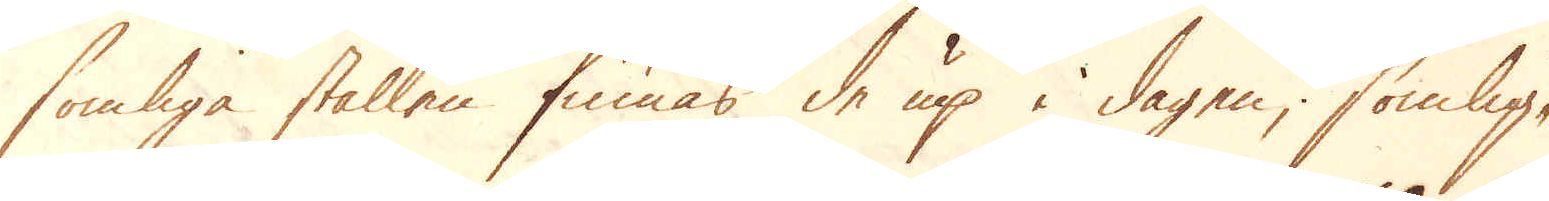somliga ställen finnas de up i dagen; somlige-
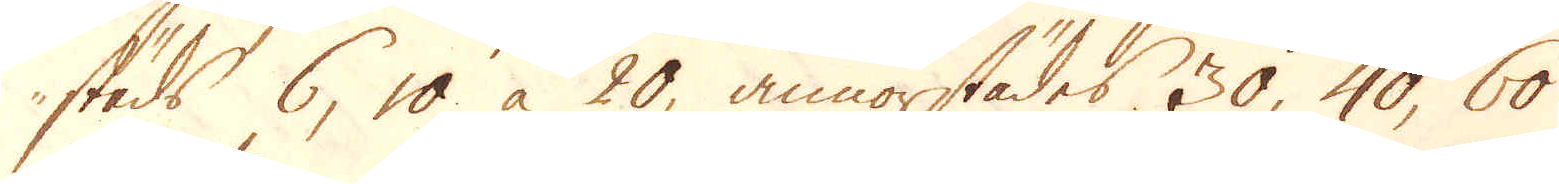steds 6, 10 à 20, annorstädes 30, 40, 60
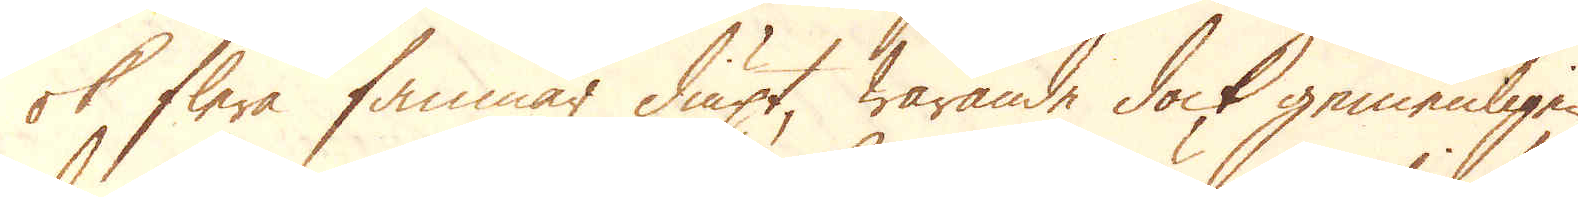ok flere famnar diupt, warande dock gemenligen
